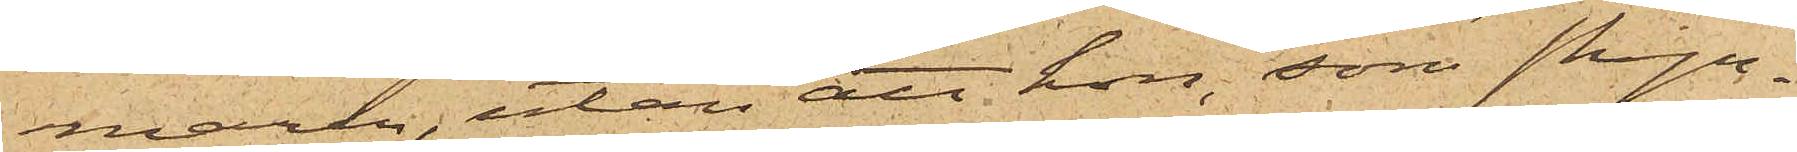maren, utan att hon, som skyn¬
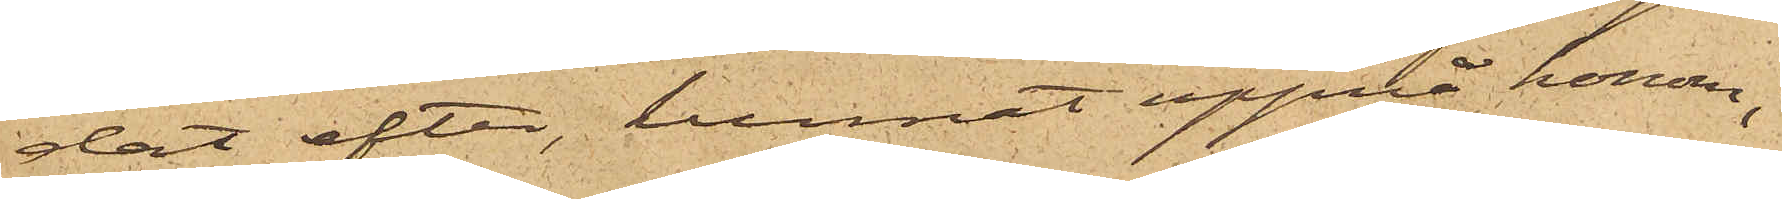dat efter, kunnat uppnå honom;
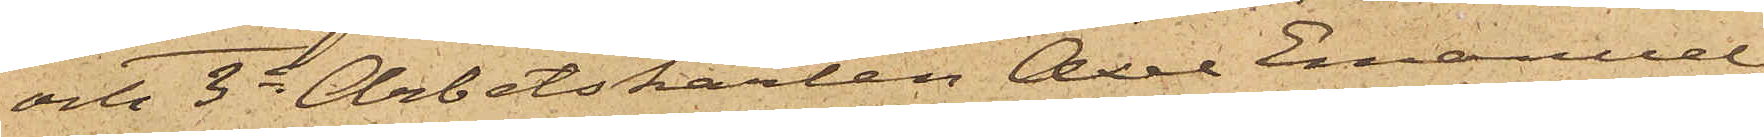och 3o Arbetskarlen Axel Emanuel
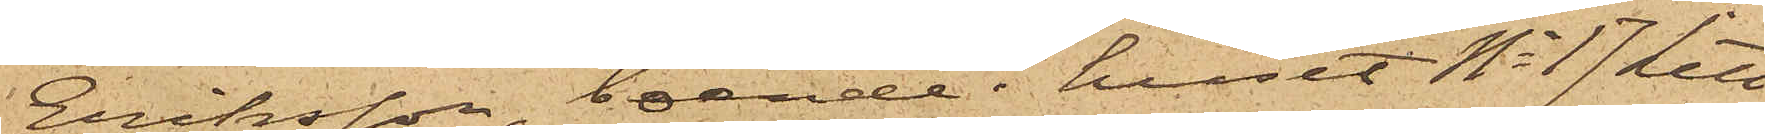Eriksson, boende i huset No 17 Litt
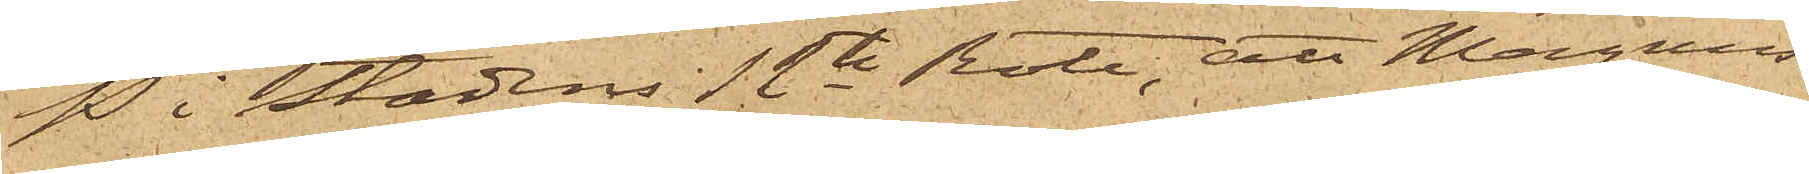P i Stadens 12te Rote, att Magnus¬
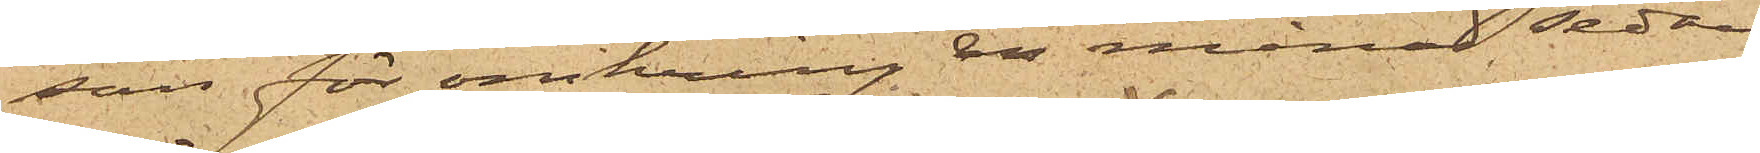son för omkring en månad sedan
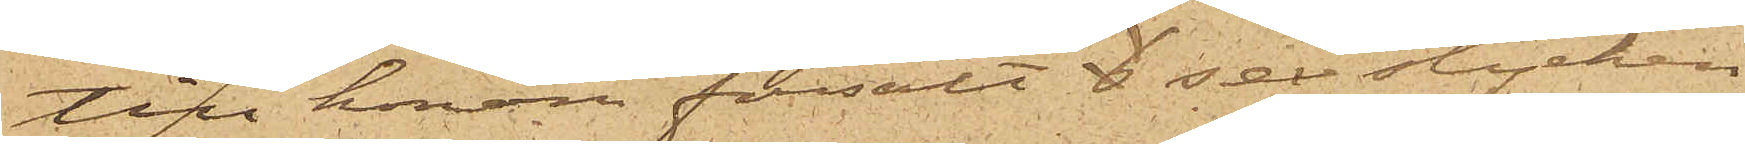till honom försålt 6 sex stycken
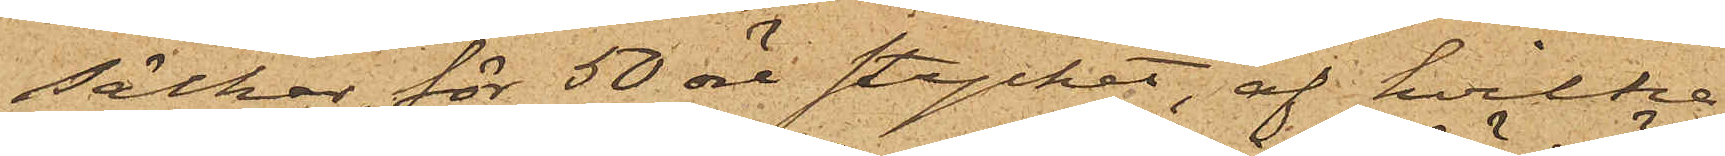säckar, för 50 öre stycket, af hvilka
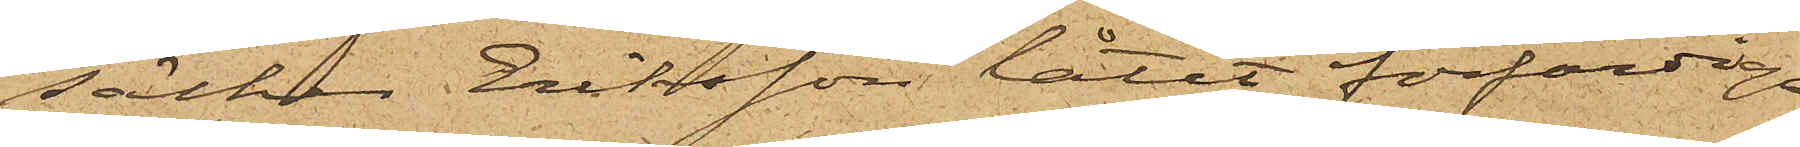säckar Eriksson låtit förfärdiga
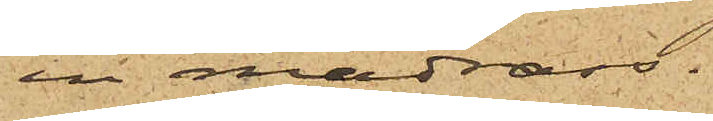en madrass.
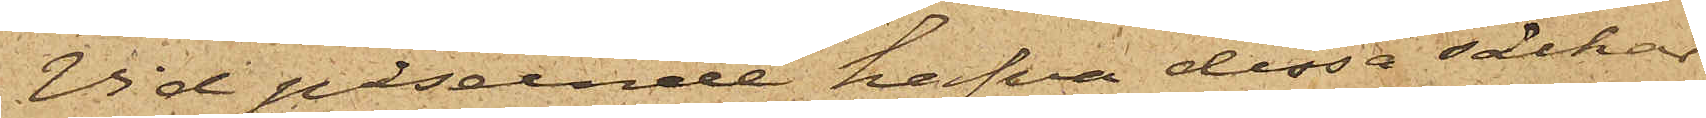Vid påseende hafva dessa säckar
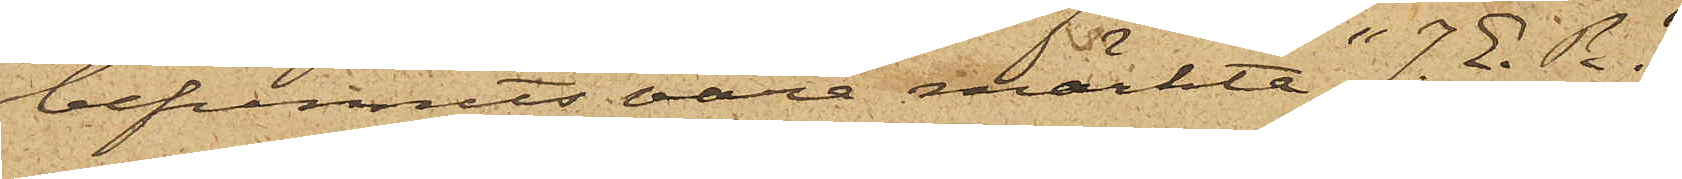befunnits vara märkte "J. E. R." 
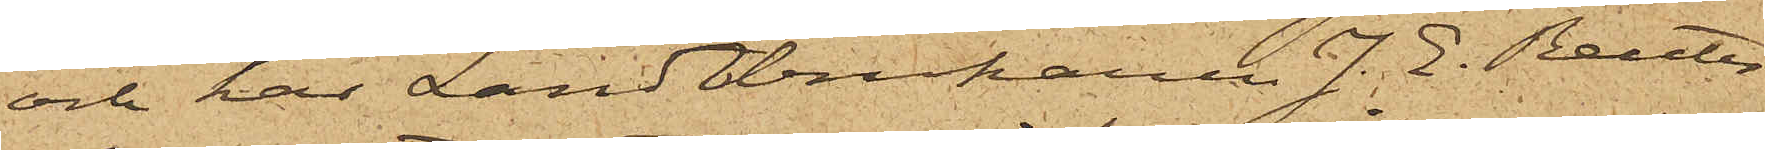och har Landtbrukaren J. E. Reuter¬
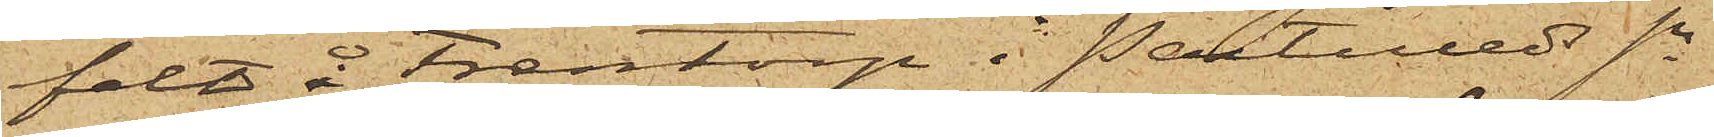felt å Frentorp i Partilleds Sn
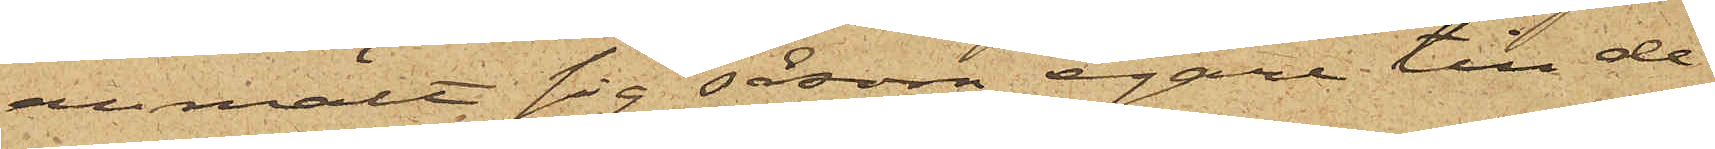anmält sig såsom egare till de¬
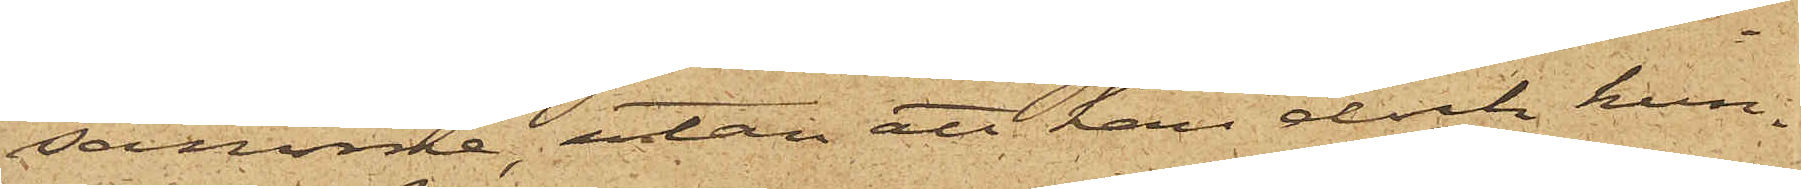samme, utan att han dock kun¬
